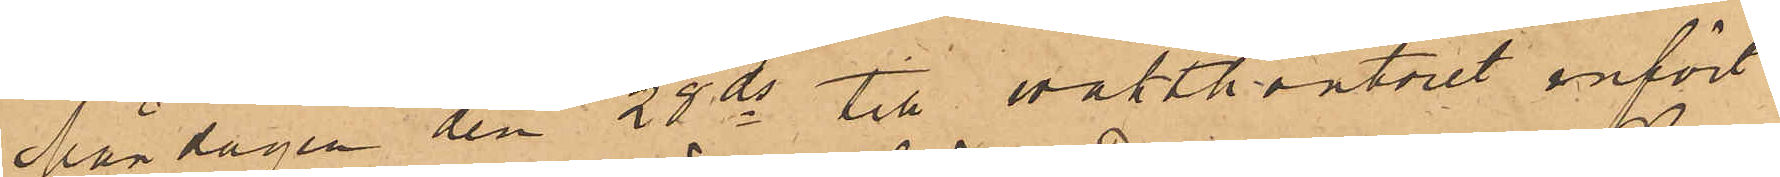Måndagen den 28 ds till vaktkontoret infört
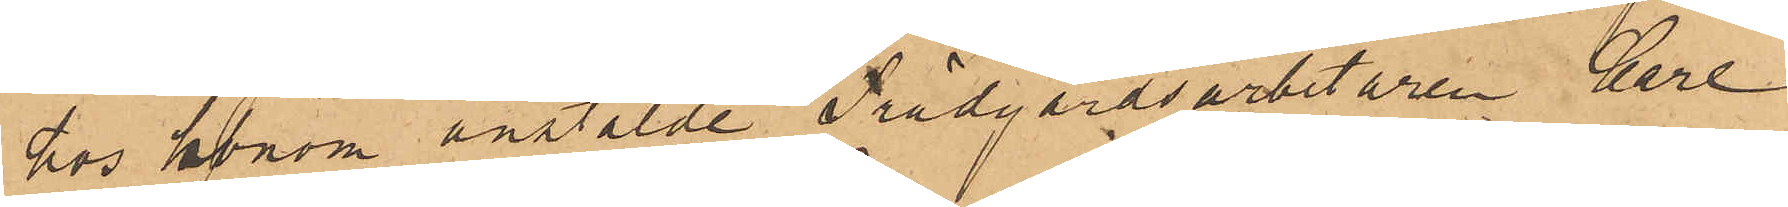hos honom anstälde Trädgårdsarbetaren Carl
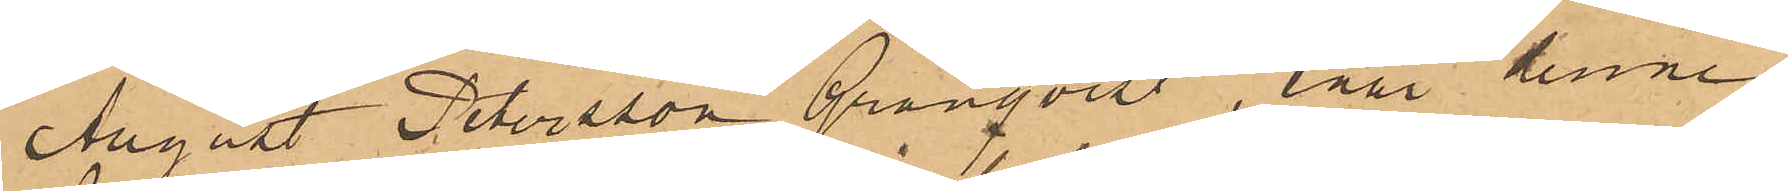August Petersson Granqvist, enär denne
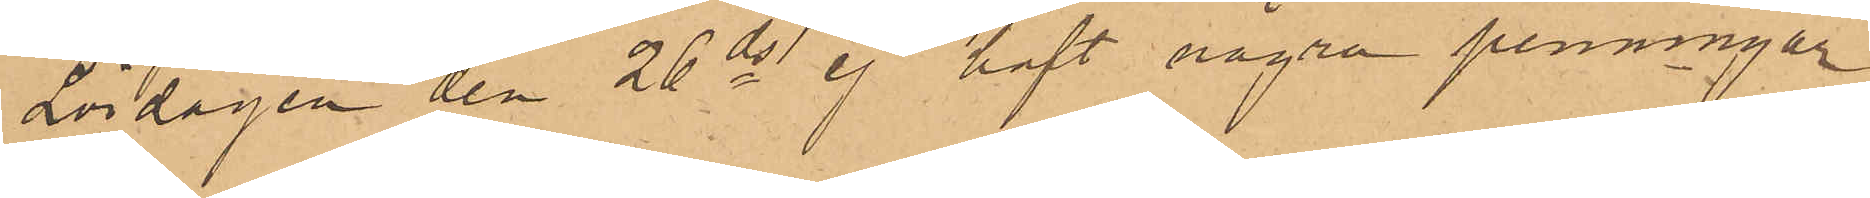Lördagen den 26 ds ej haft några penningar
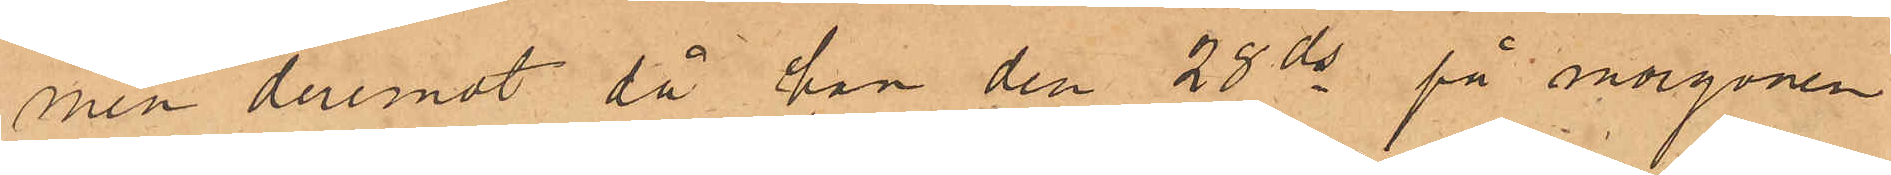men deremot då han den 28 ds på morgonen
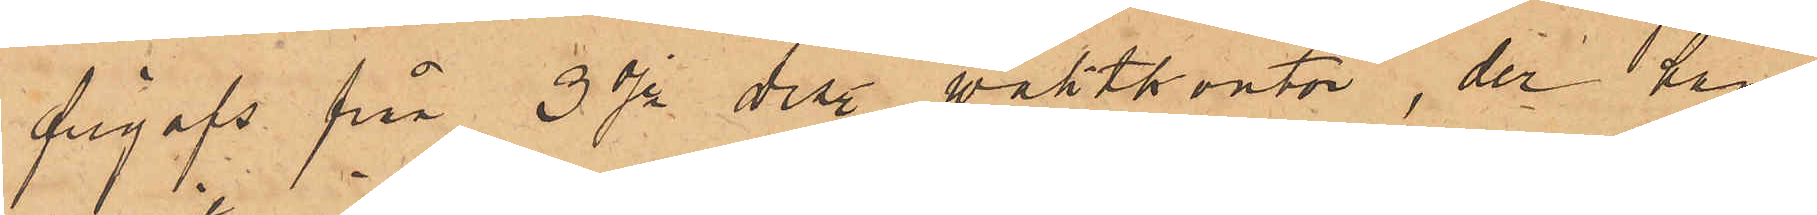frigafs från 3dje Dist. vaktkontor, der han
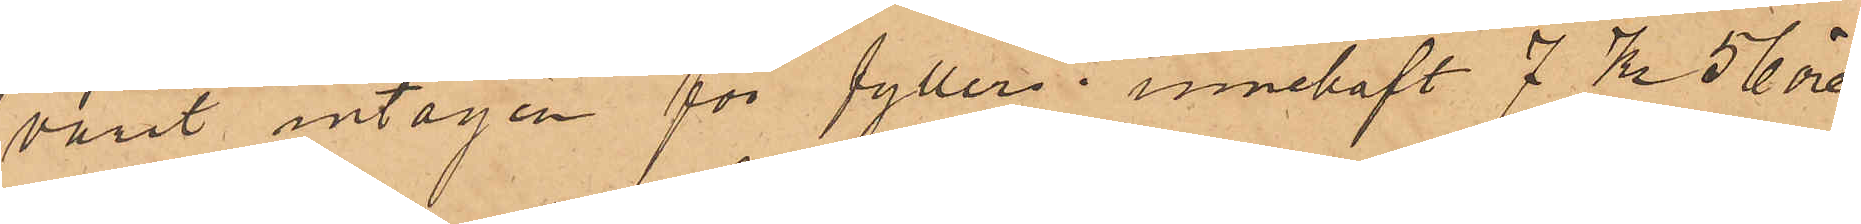varit intagen för fylleri, innehaft 7 Kr 56 öre.
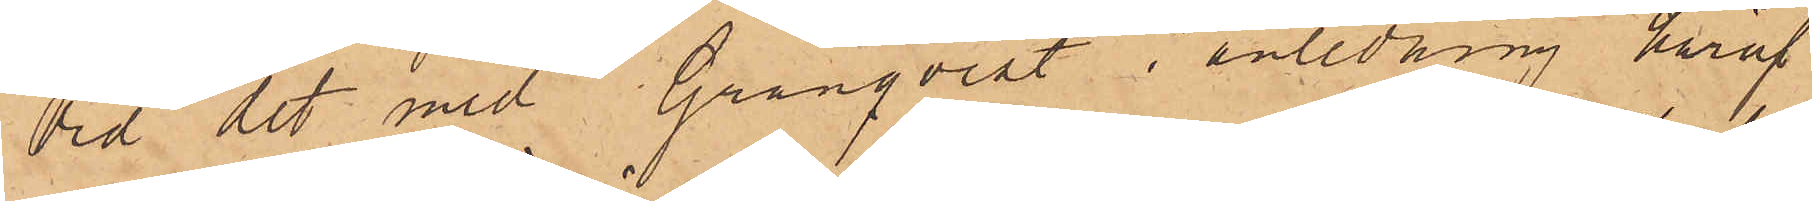Vid det med Granqvist i anledning häraf
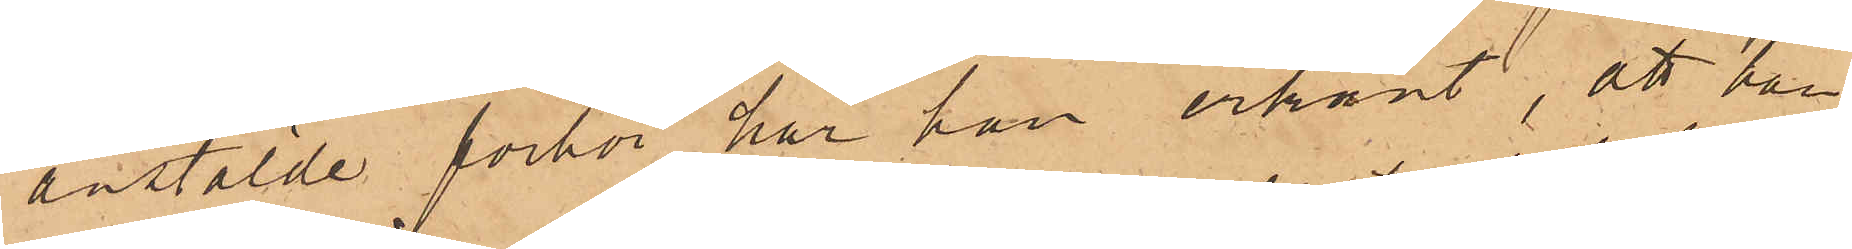anstälde förhör har han erkänt, att han
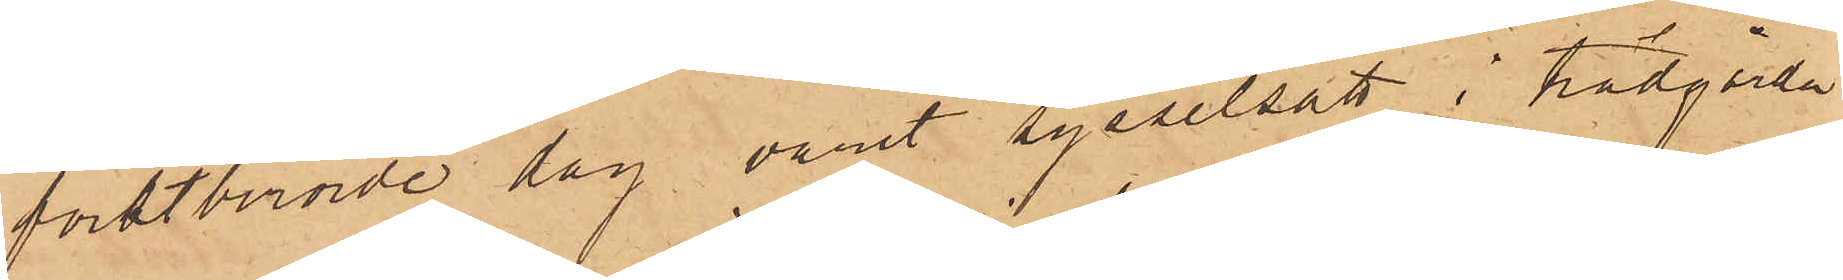förstberörde dag varit sysselsatt i trädgården
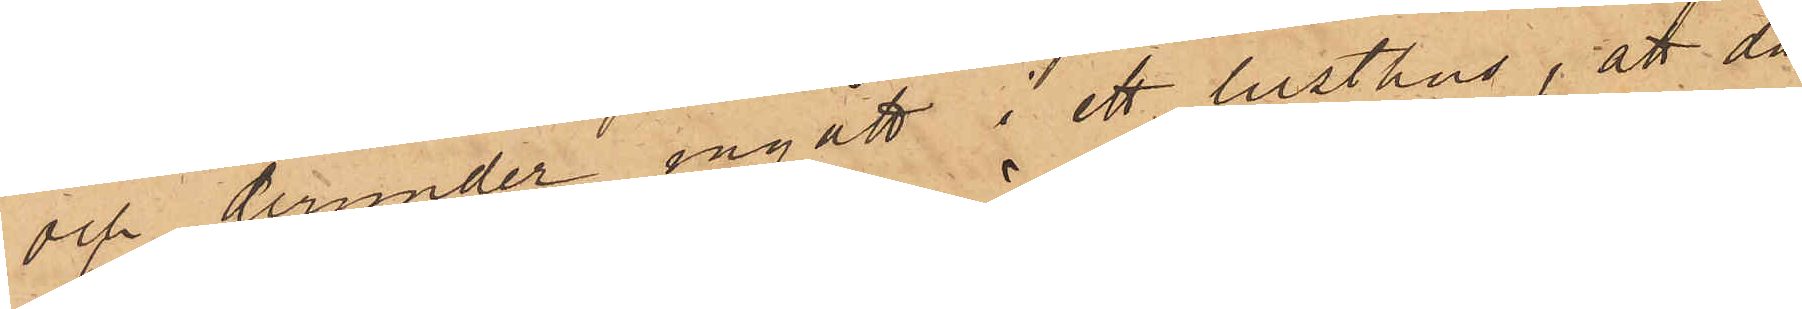och derunder ingått i ett lusthus; att då
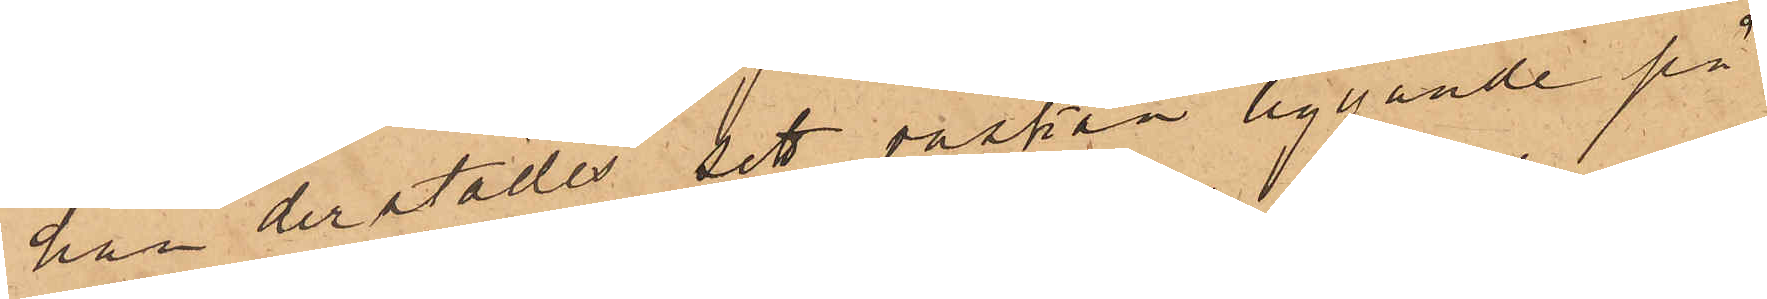han derstädes sett väskan liggande på
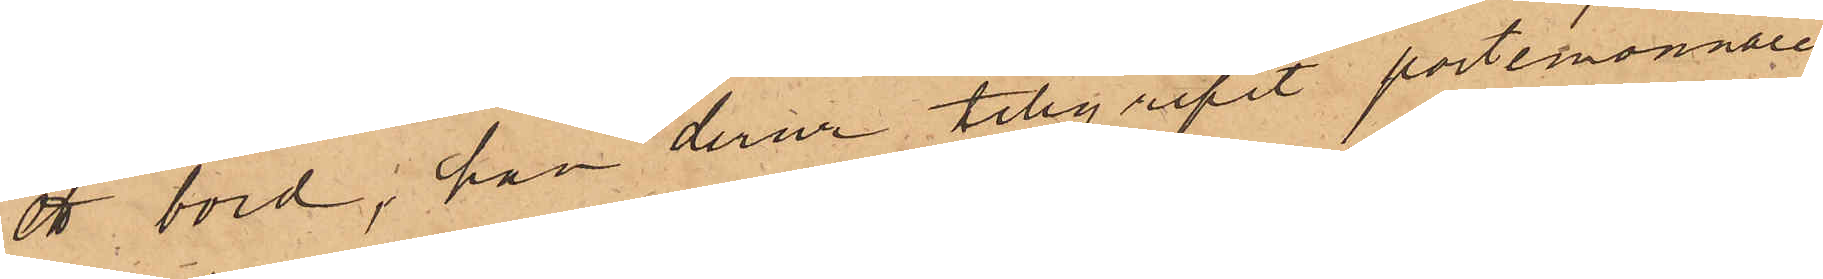ett bord, han derur tillgripit portemonnaien;
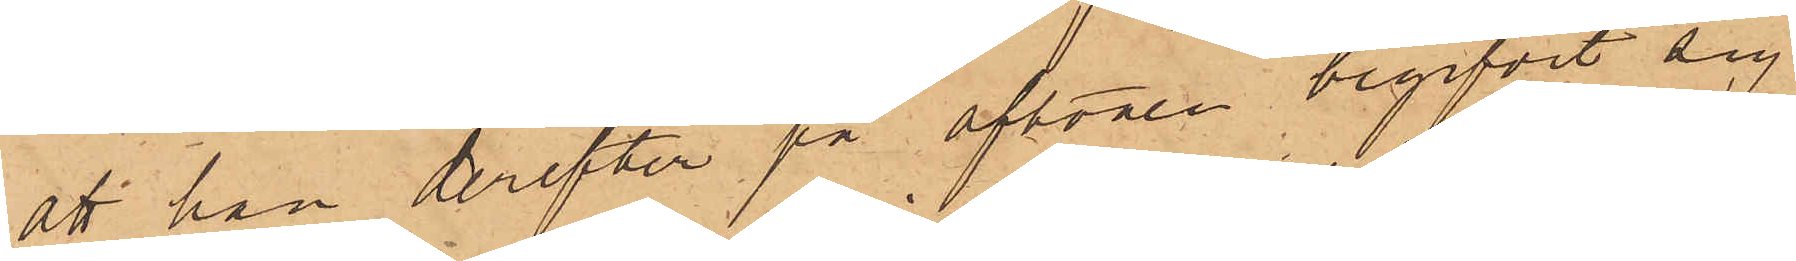att han derefter på aftonen begifvit sig
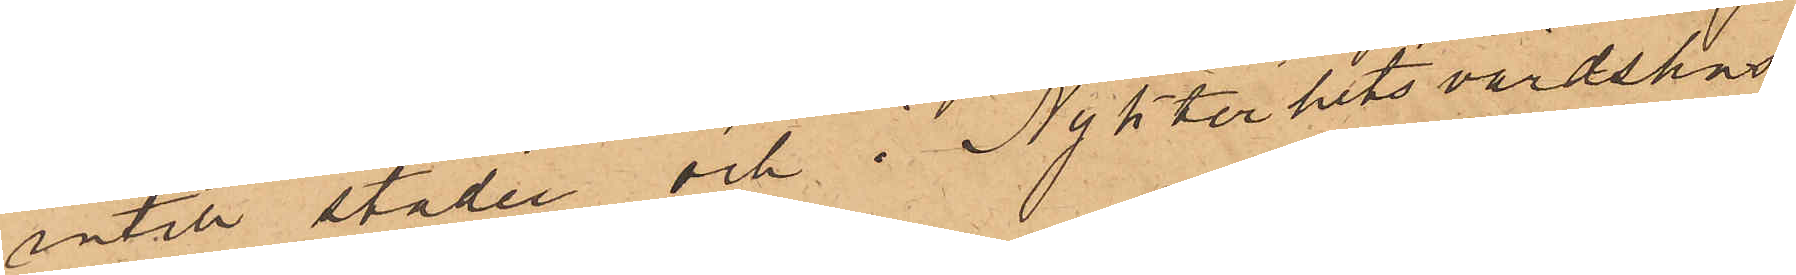intill staden och i Nykterhetsvärdshus¬
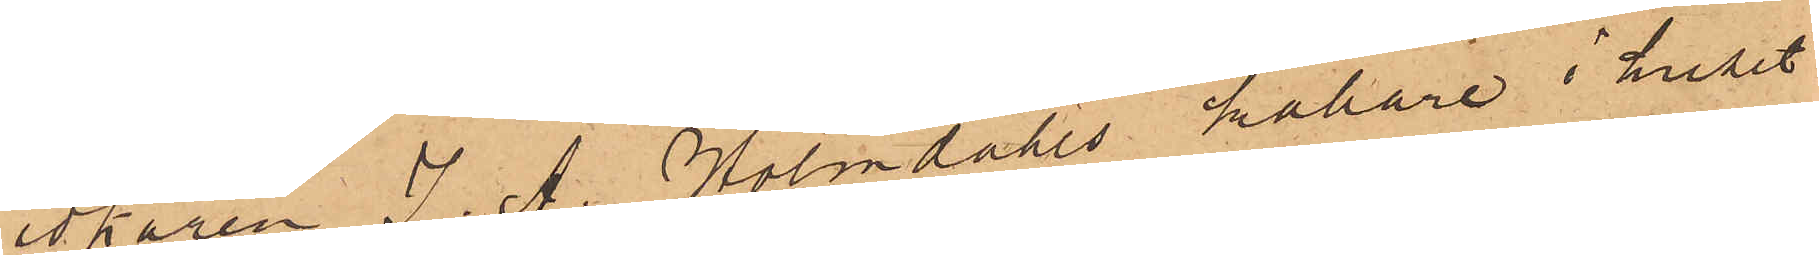idkaren J. A. Holmdahls källare i huset
